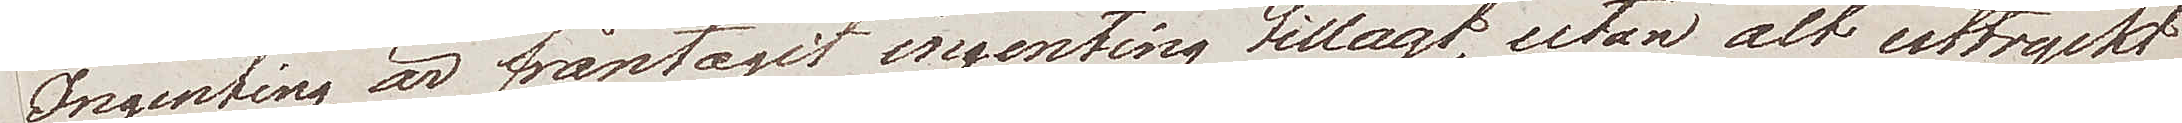Ingenting är fråntagit ingenting tillagt, utan alt uttryckt
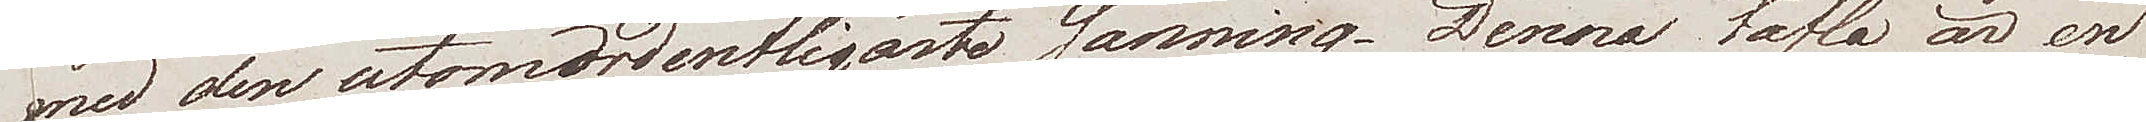med den utomordentligaste sanning. Denna tafla är en
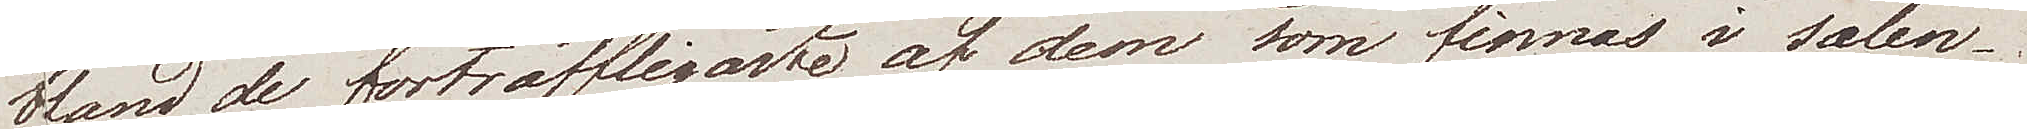bland de förträffligaste af dem som finnas i salen.
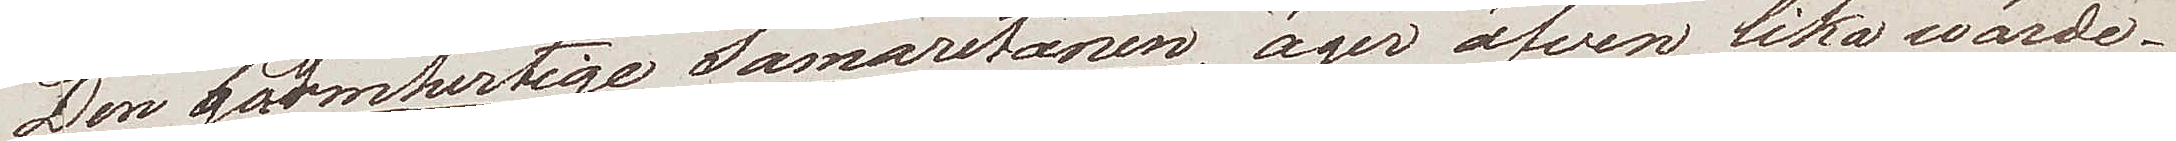Den barmhertige Samaritanen. äger äfven lika wärde.
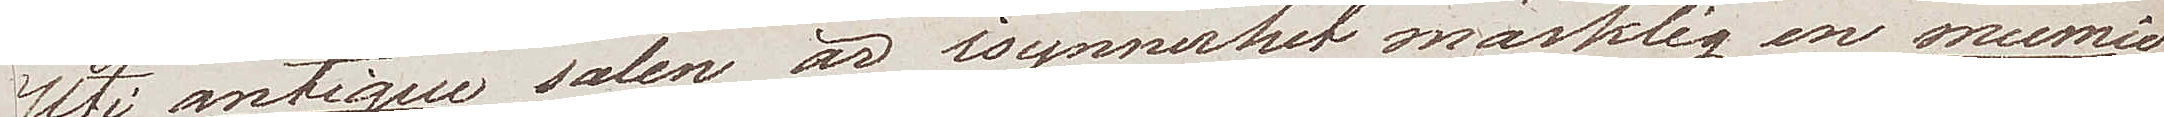Uti antigue salen är isynnerhet märklig en mumie
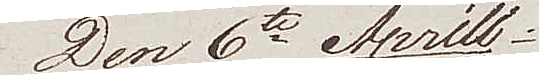Den 6te Aprill
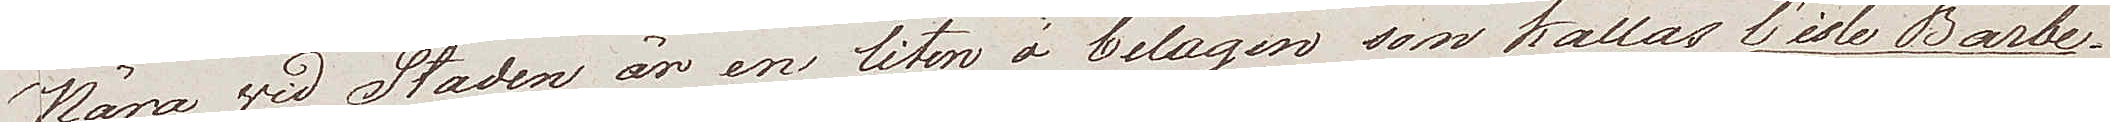Nära vid Staden är en liten ö belägen som kallas l'isle Barbe.
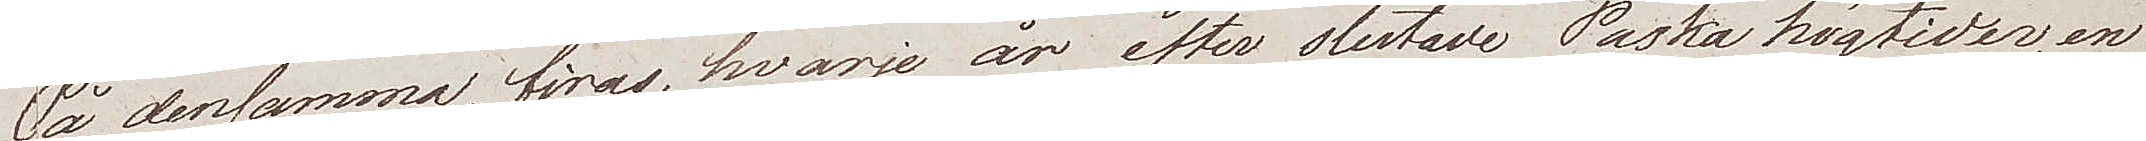På densamma, firas, hvarje år efter slutade Poska högtiden, en
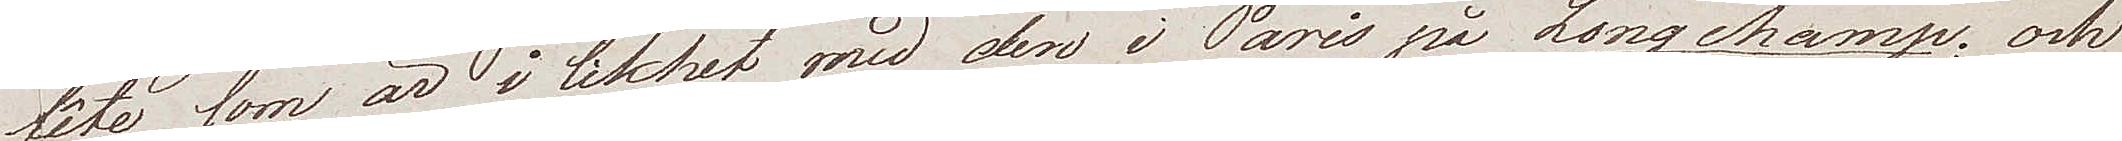fête som är i likhet med den i Paris på Longchamp; och
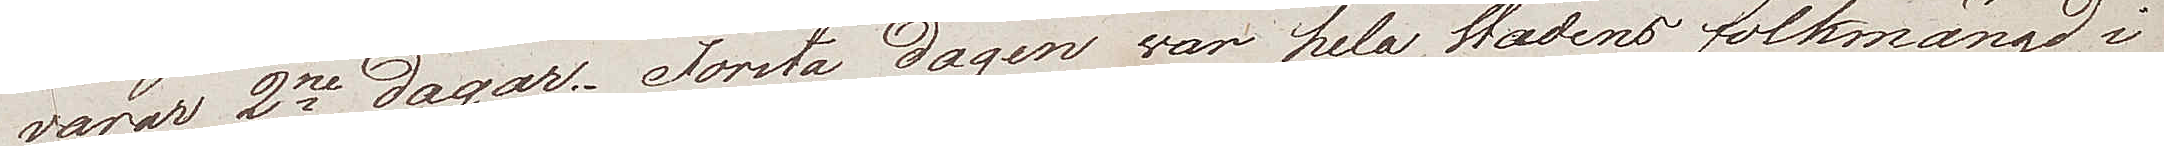varar i 2ne dagar. Första dagen var hela stadens folkmängd i
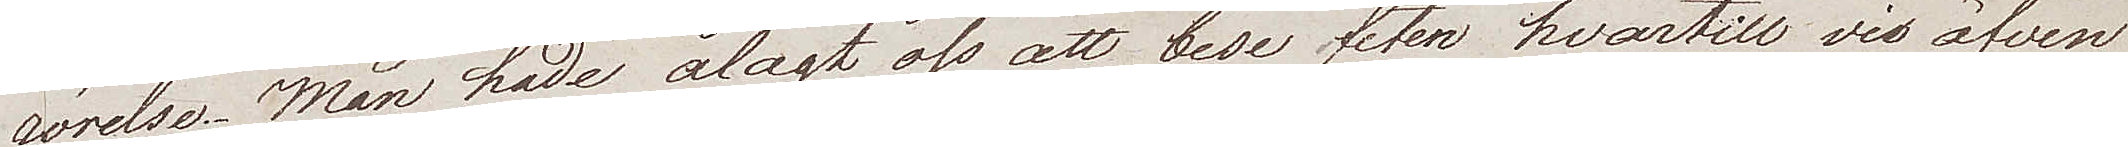rörelse. Man hade ålagt oss att bese feten hvartill vis äfven
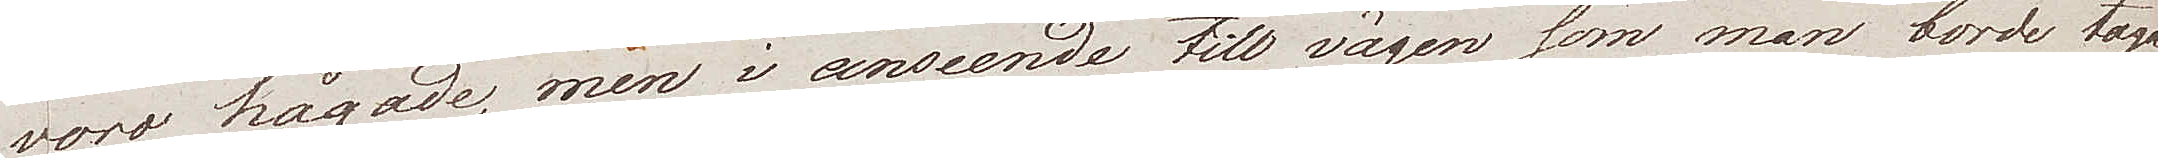voro hågade, men i anseende till vägen som man borde taga
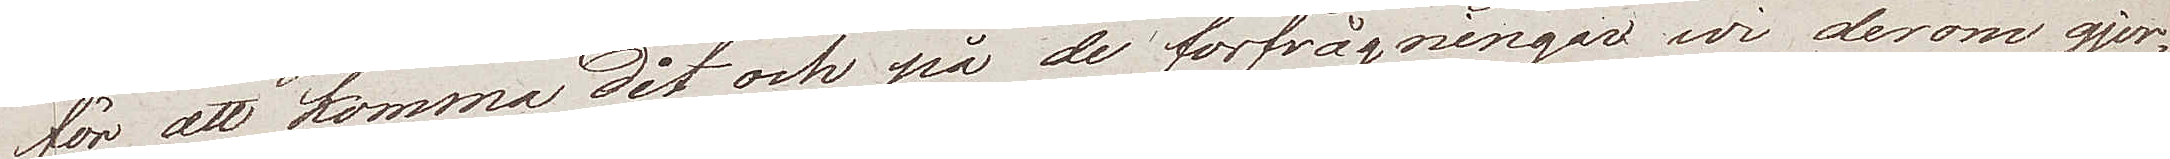för att komma dit, och på de förfrågningar wi derom gjord¬
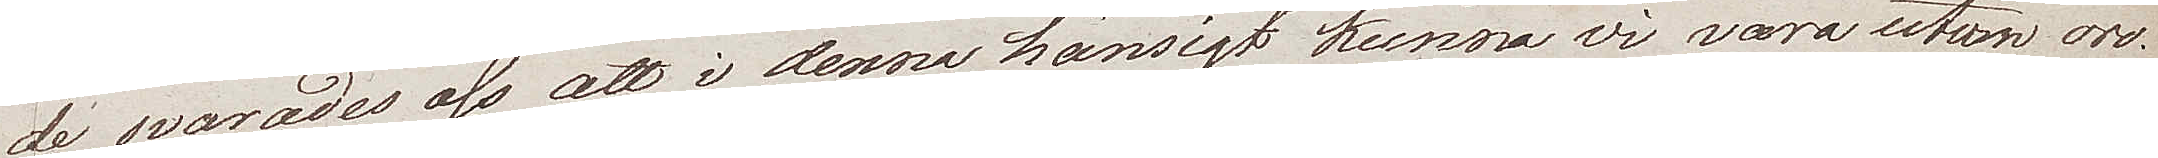de, svarades oss att i denna hänsigt kunna vi vara utom oro.
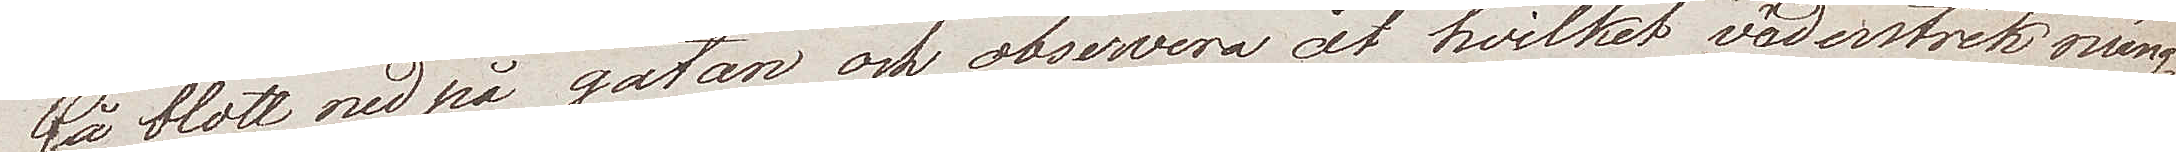Gå blott ned på gatan och observera åt hvilket väderstreck mäng¬
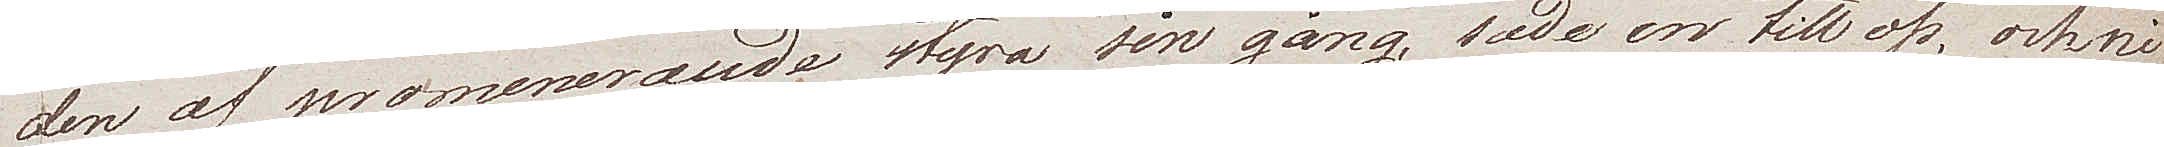den af promenerande styra sin gång, sade en till oss, och ni
